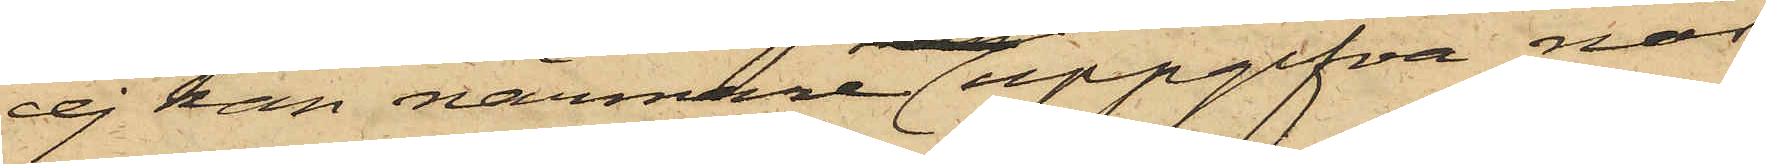ej kan närmare uppgifva när
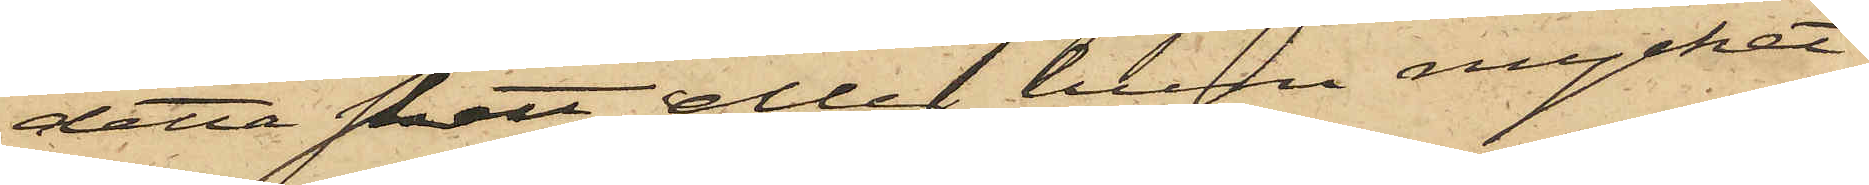detta skett eller huru mycket
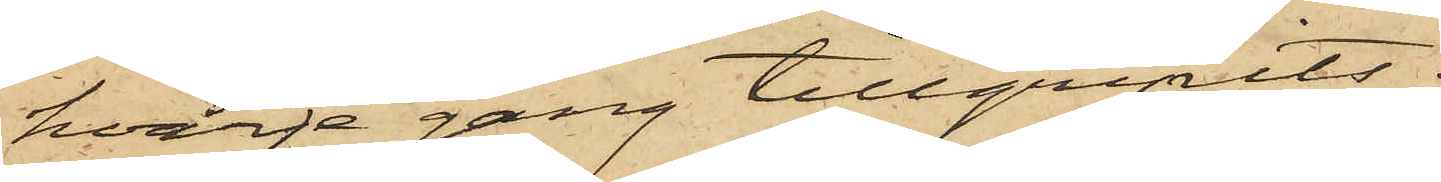hvarje gång tillgripits.
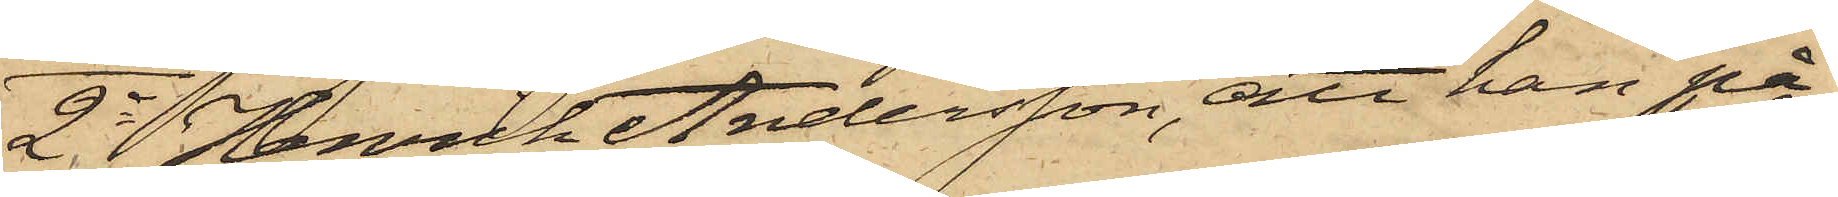2o Henrik Andersson, att han på
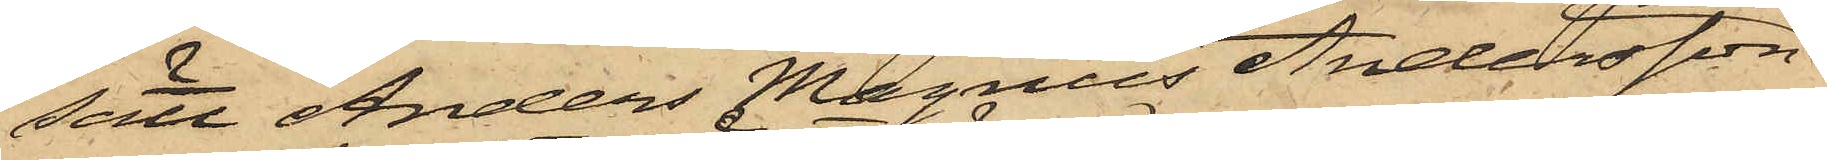sätt Anders Magnus Andersson
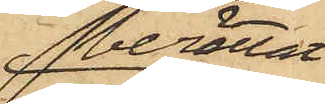berättat
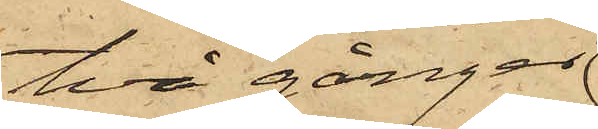två gånger
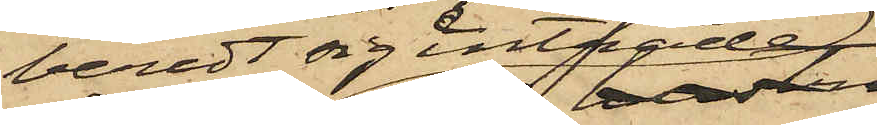beredt sig inträde
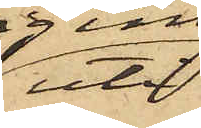uti
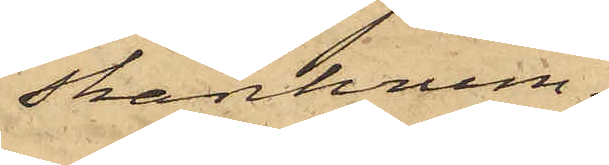skänkrum¬
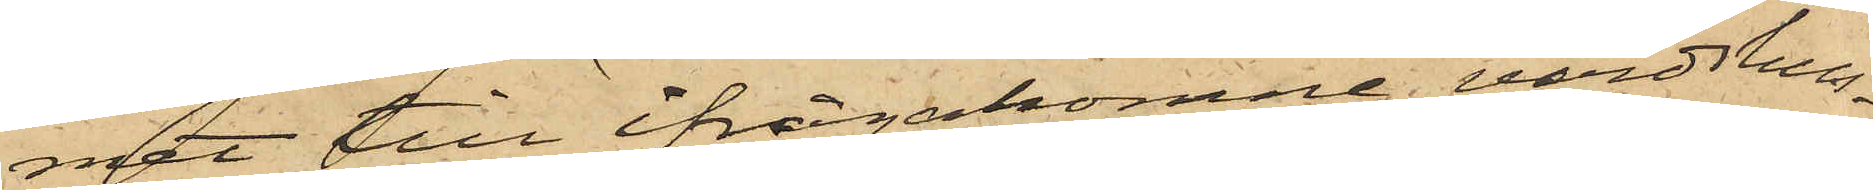met till ifrågakomne värdshus¬
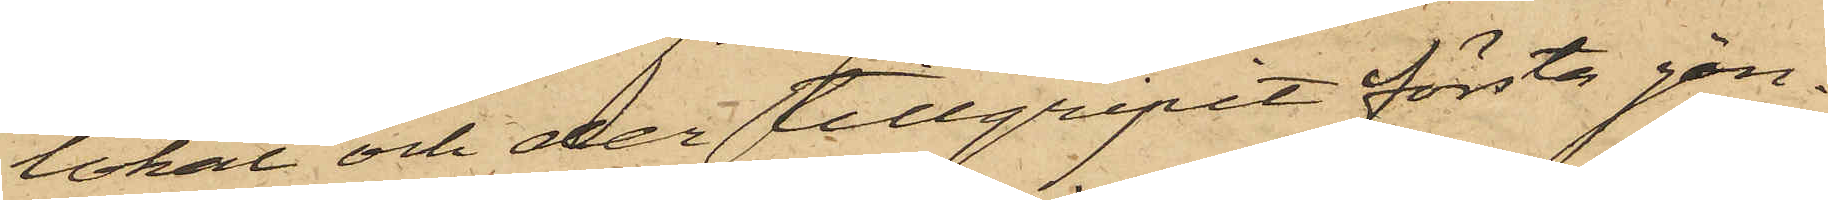lokal och der tillgripit första gån¬
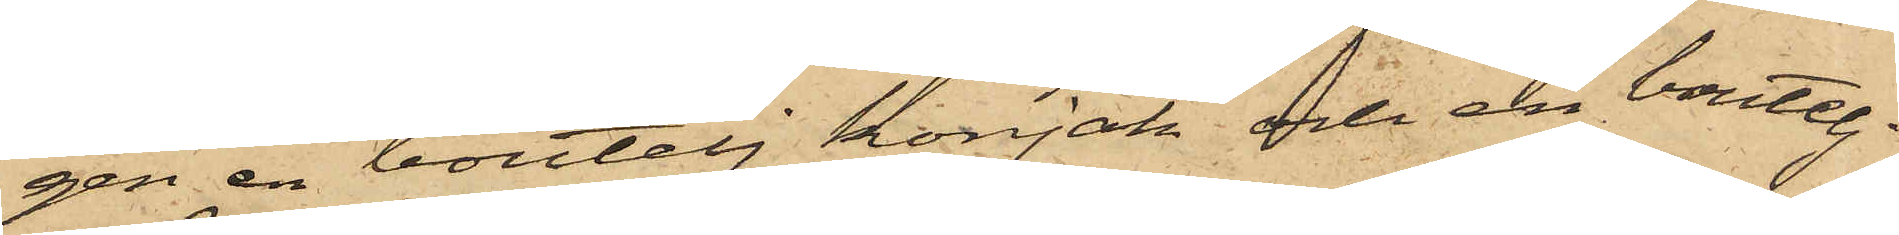gen en boutelj konjak och en boutelj
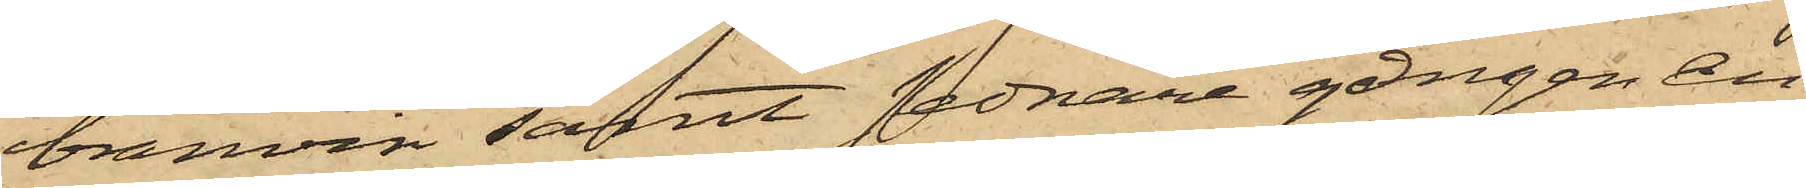bränvin samt sednare gången en
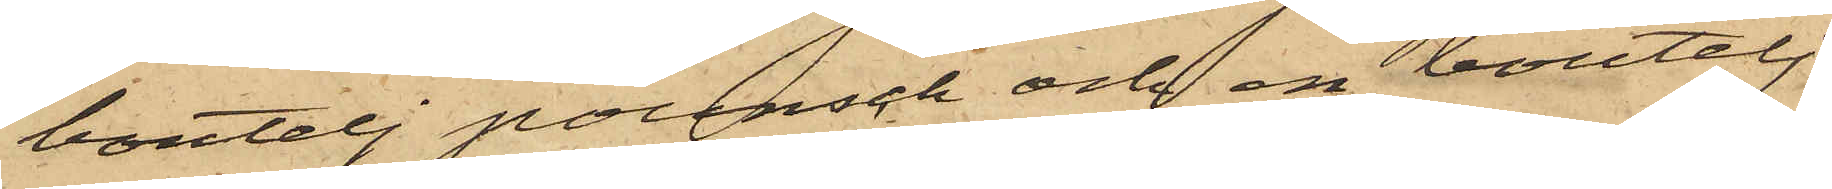boutelj pounsch och en boutelj
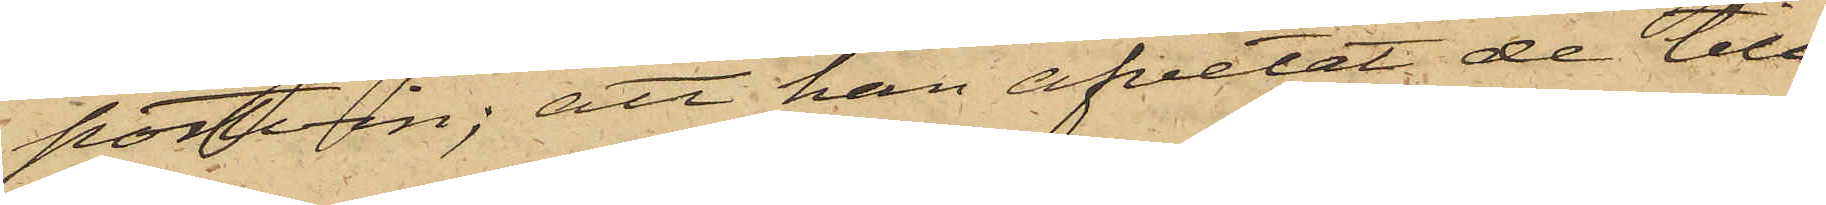portvin; att han afvetat de till¬
